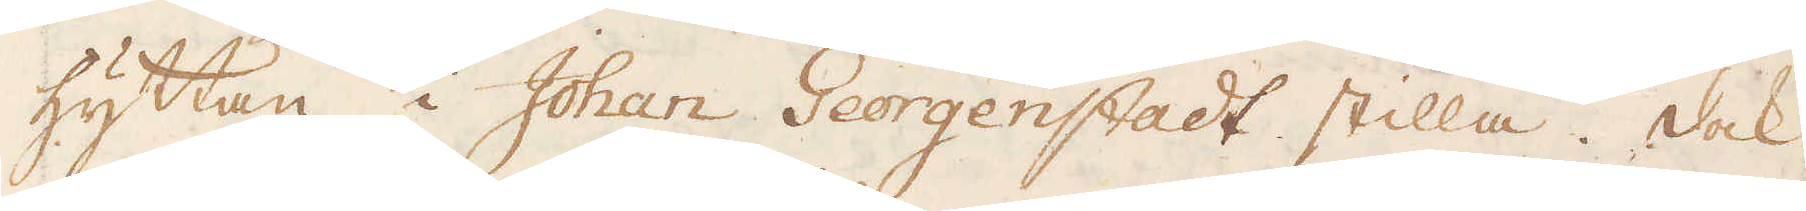hyttan i Johan Georgenstadt stilla. Dock
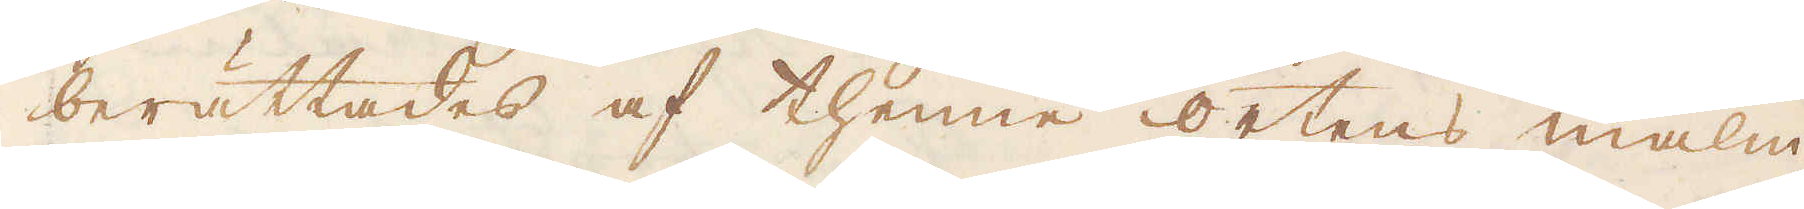berättades af thenne ortens malm
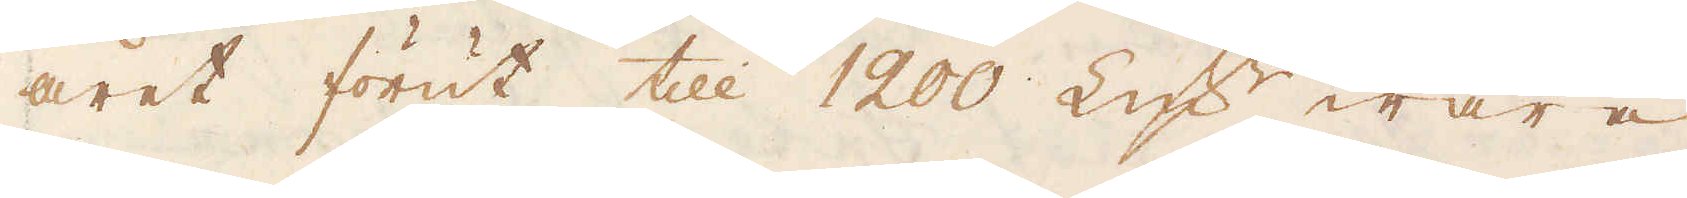året förut till 1200 Lqv:r wara
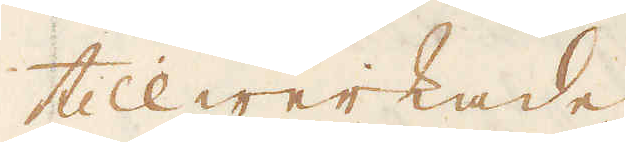tillwerkade.
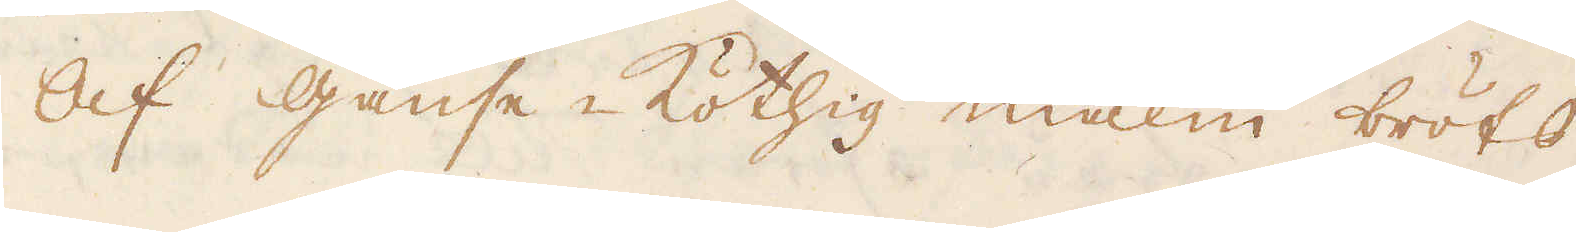Af Gänse-Köthig malm bröts
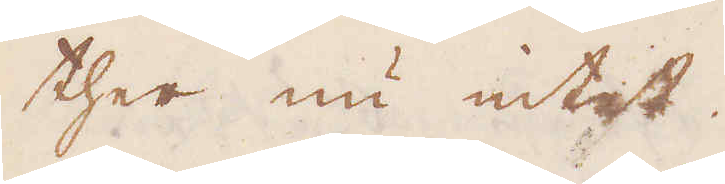ther nu intet.
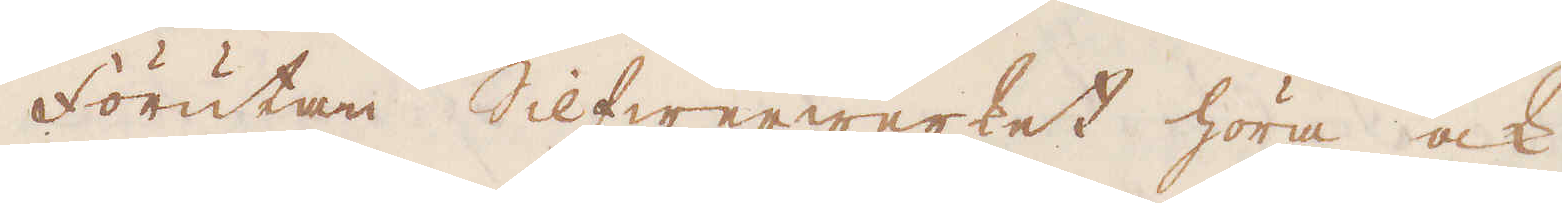Förutan Silfwerwerket höra ock
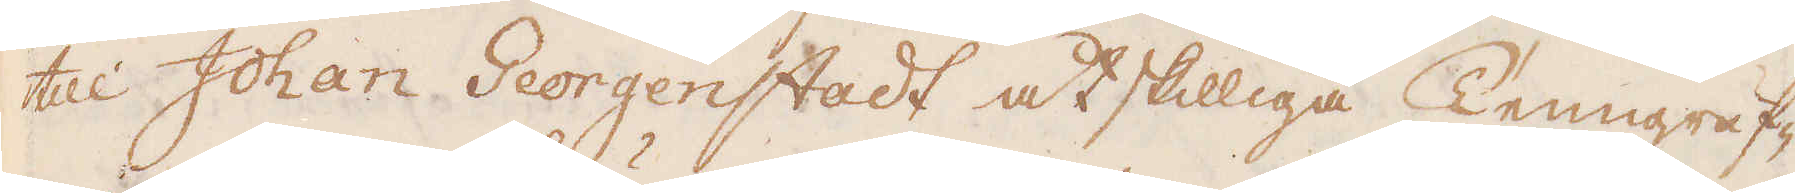till Johan Georgenstadt åtskilliga Tenngruf-
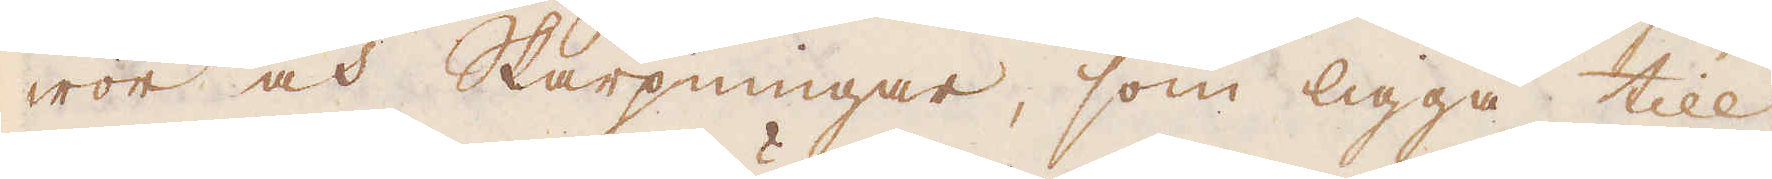wor och Skärpningar, som ligga till
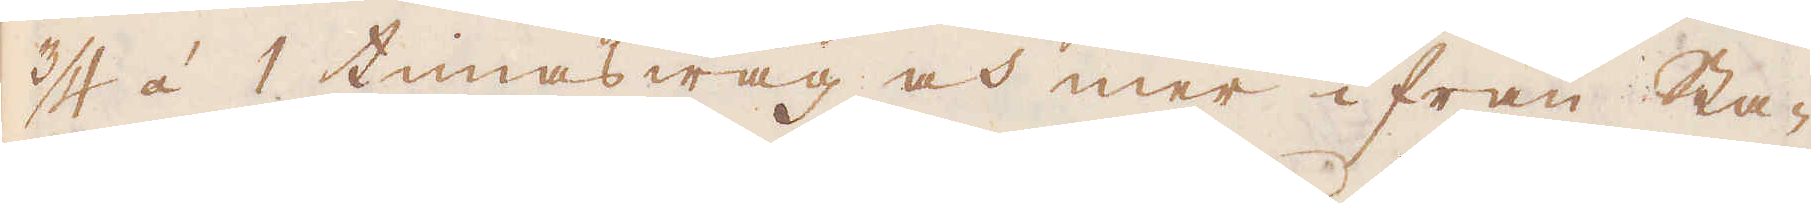3/4 á 1 timas wäg och mer ifrån Sta-
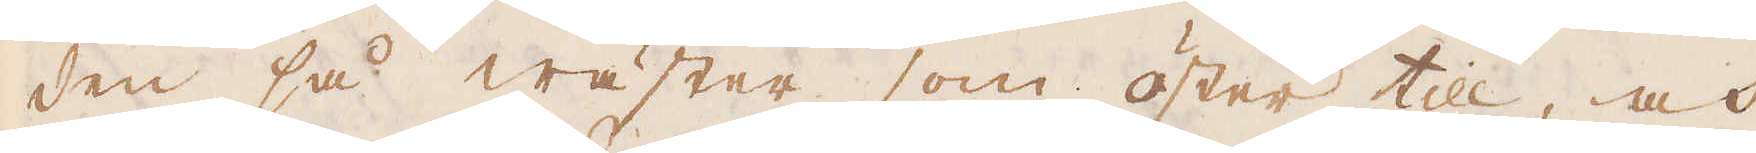den så wäster som öster till, och
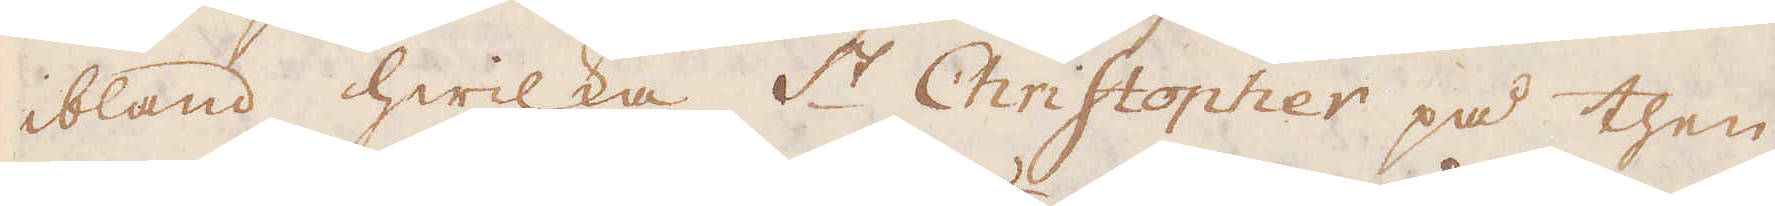ibland hwilka S:t Christopher på then
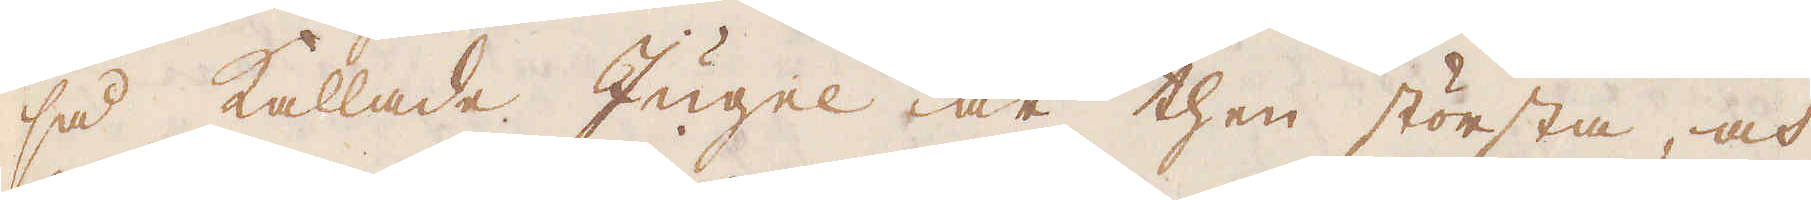så kallade Jugel är then största, och
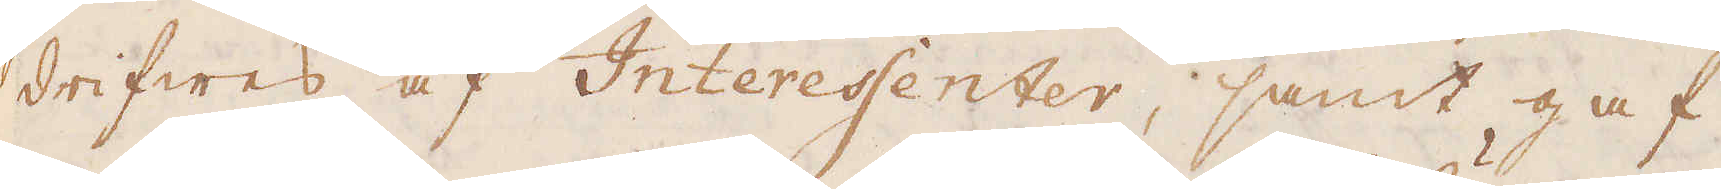drifwes af Interessenter, samt gaf
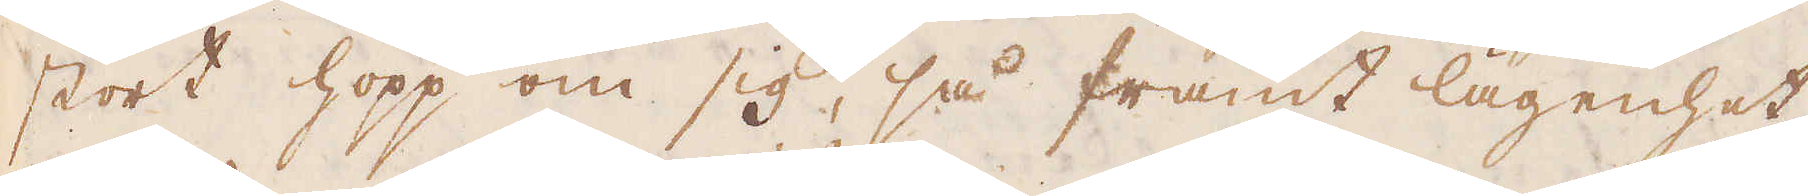stort hopp om sig, så framt lägenhet
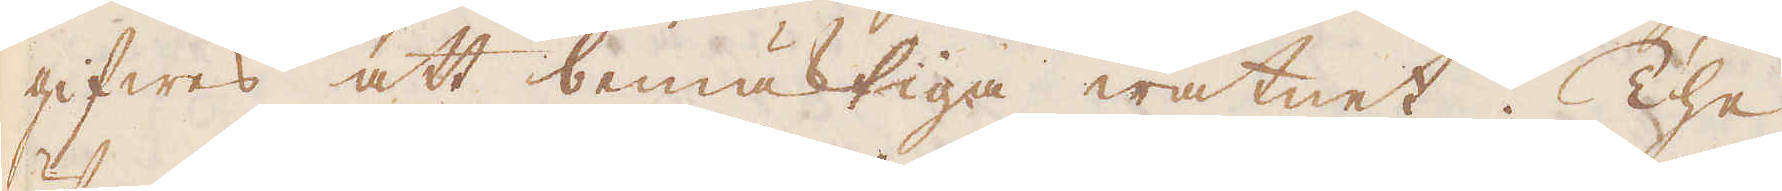gifwes att bemäktiga watnet. The
